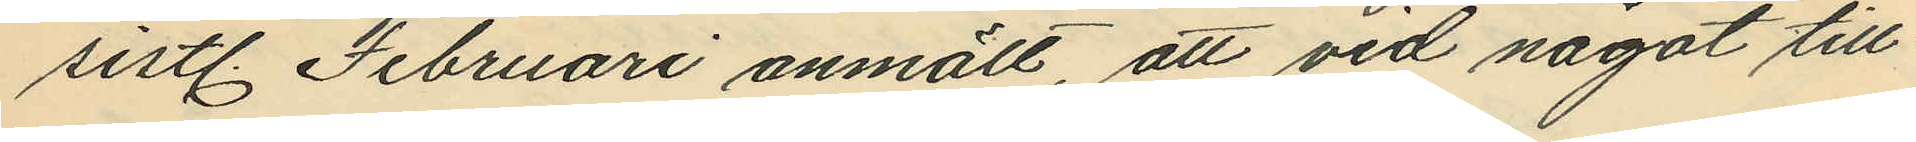sistl. Februari anmält, att vid något till
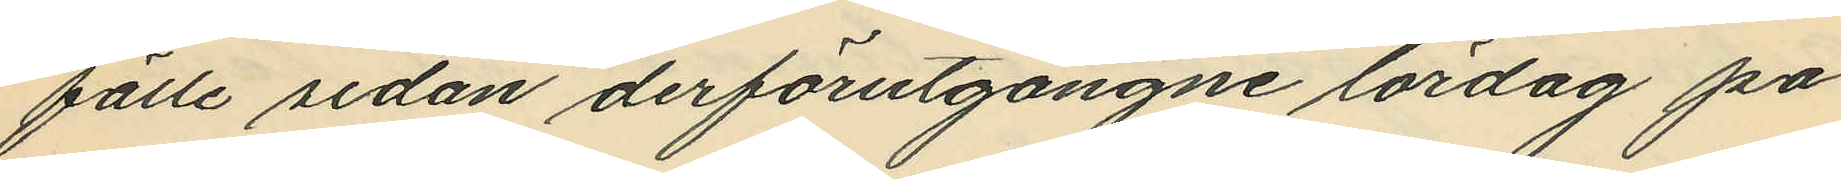fälle sedan derförutgångne lördag på
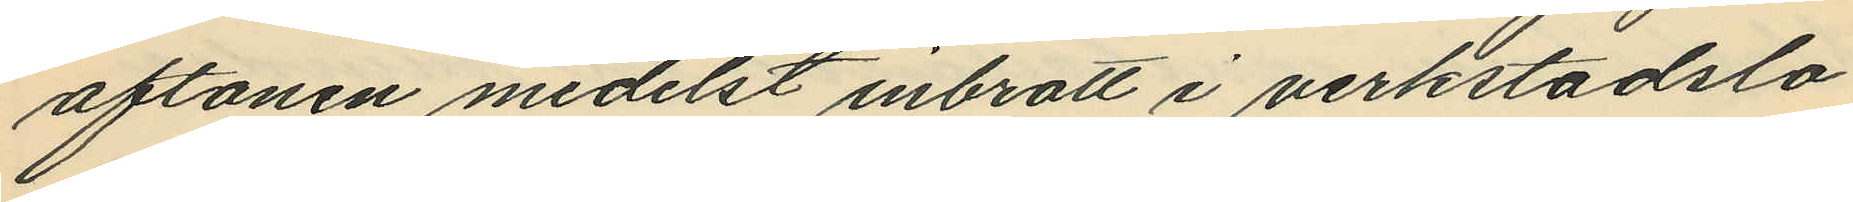aftonen medelst inbrott i verkstadslo¬
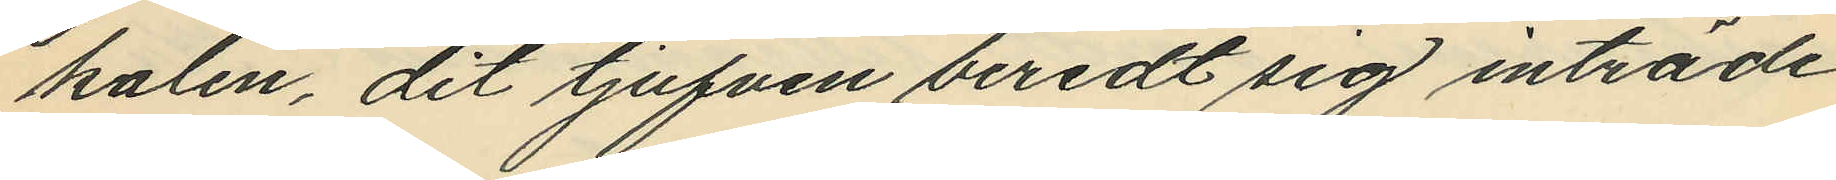kalen, dit tjufven beredt sig inträde
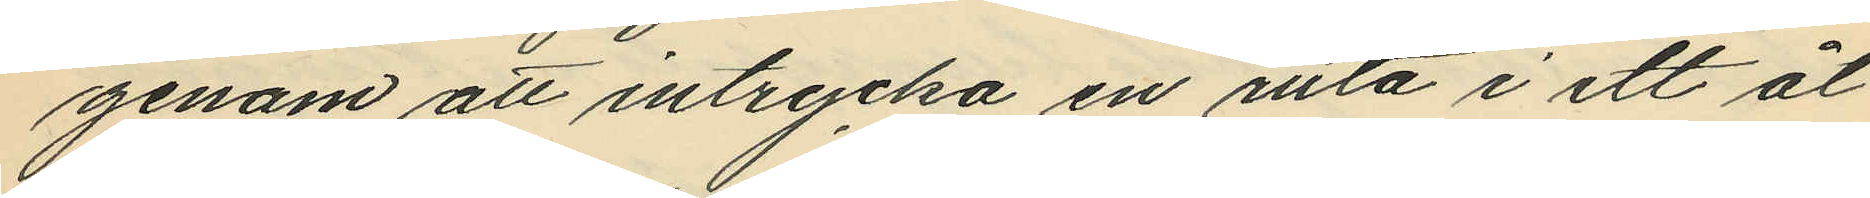genom att intrycka en ruta i ett åt
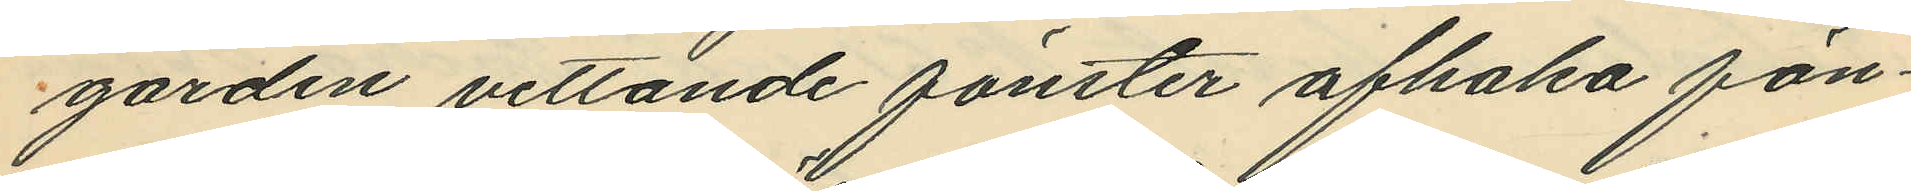gården vettande fönster afhaka fön¬
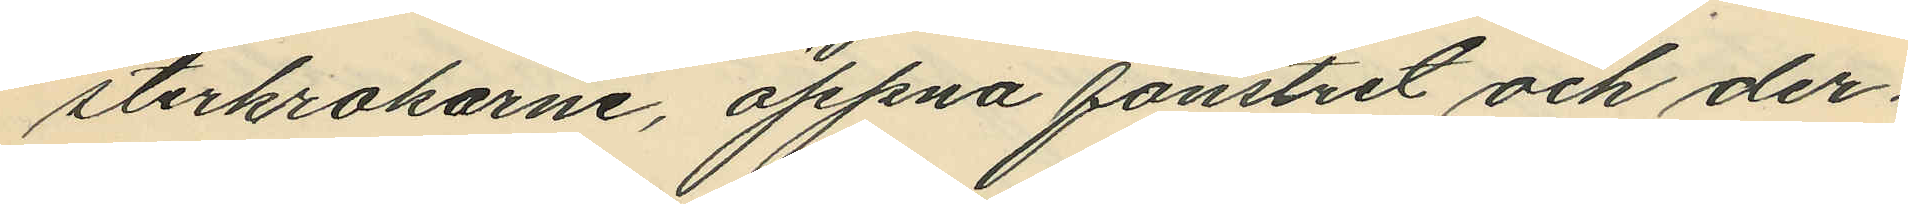sterkrokarne, öppna fönstret och der¬
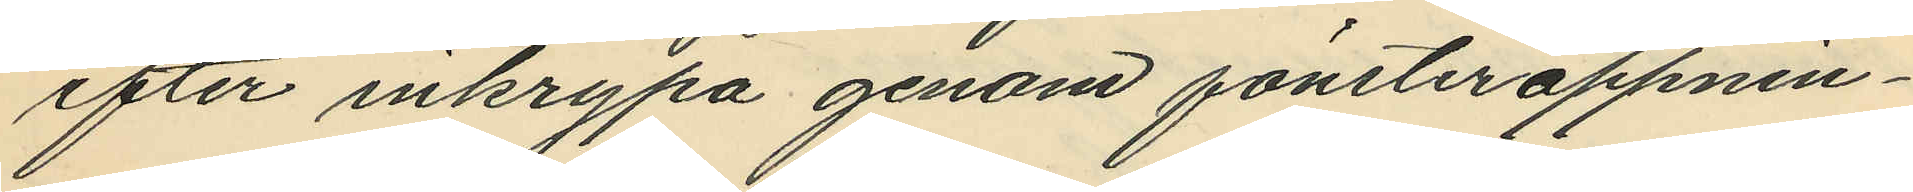efter inkrypa genom fönsteröppnin¬
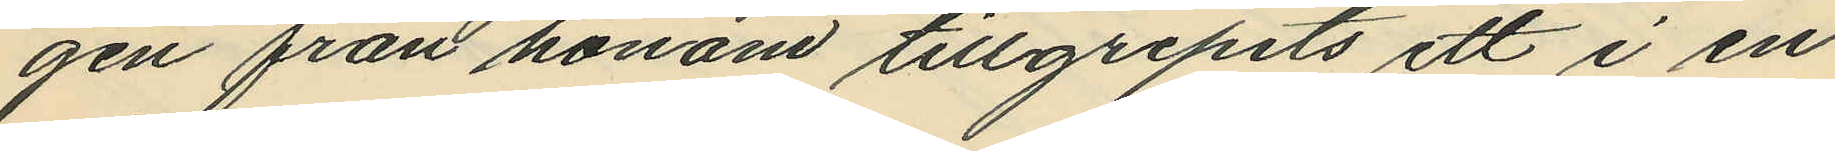gen från honom tillgripits ett i en
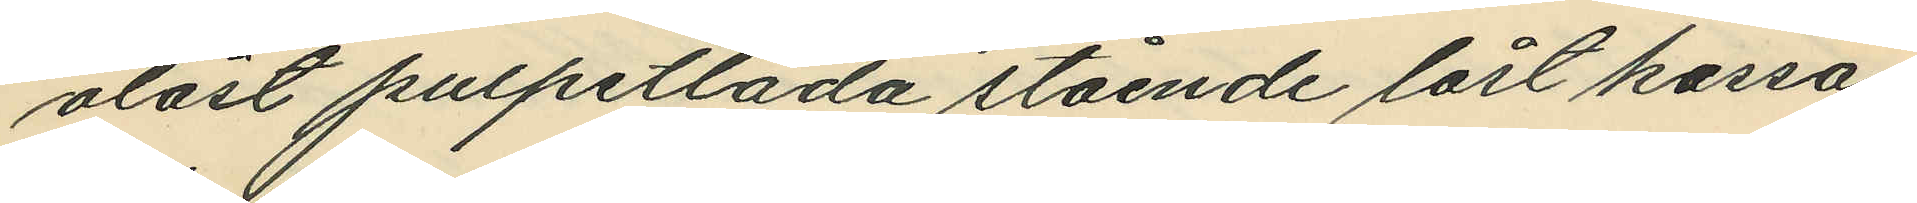olåst pulpetlåda stående låst kassa¬
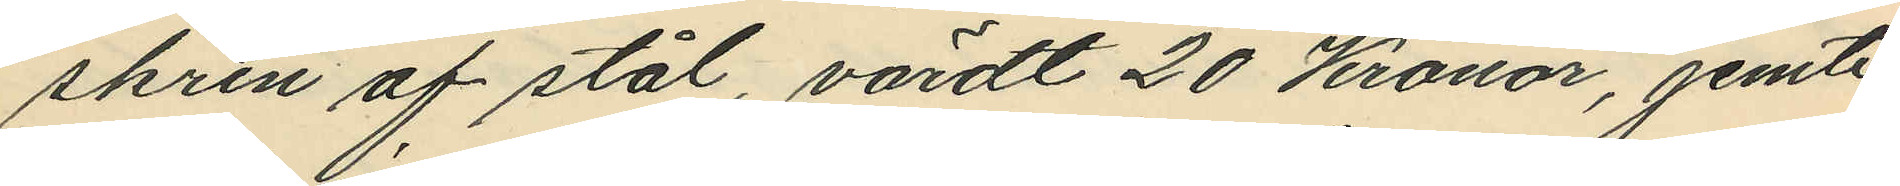skrin af stål, värdt 20 Kronor, jemte
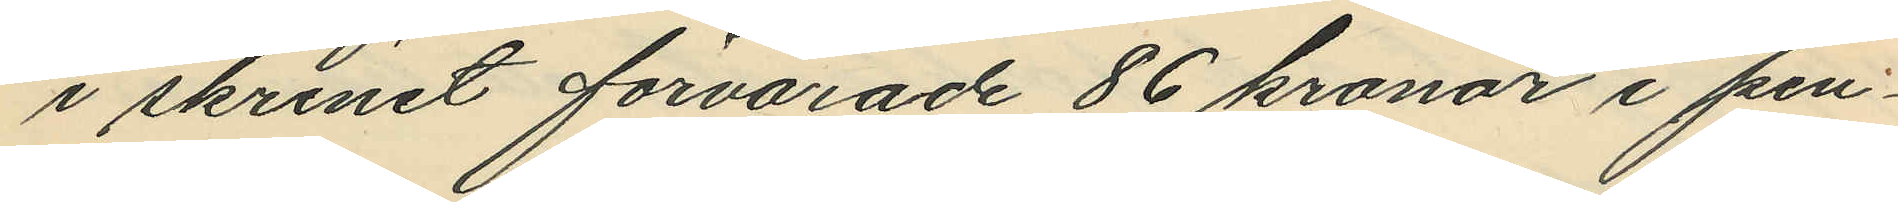i skrinet förvarade 86 kronor i pen¬
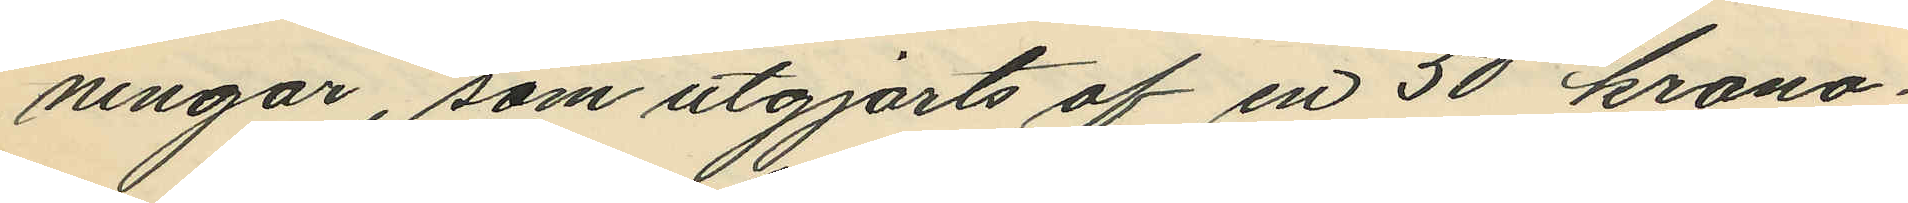ningar, som utgjorts af en 50 krono¬
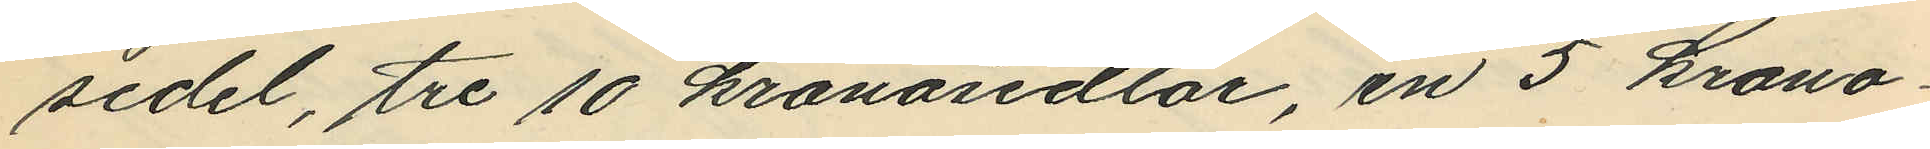sedel, tre 10 kronosedlar, en 5 krono¬
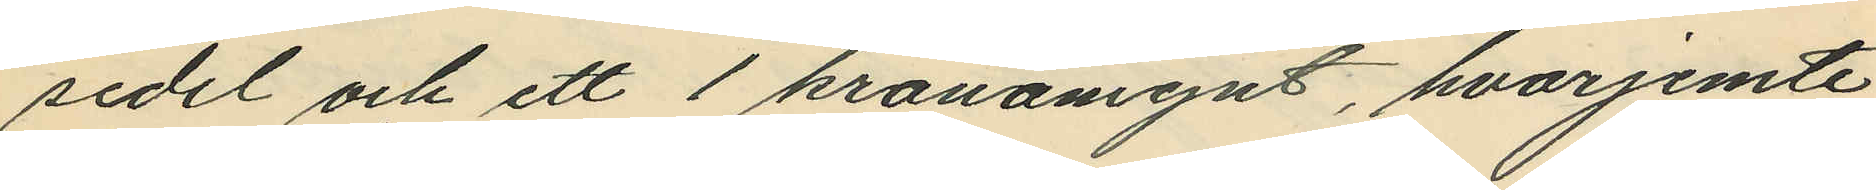sedel och ett 1 kronomynt, hvarjemte
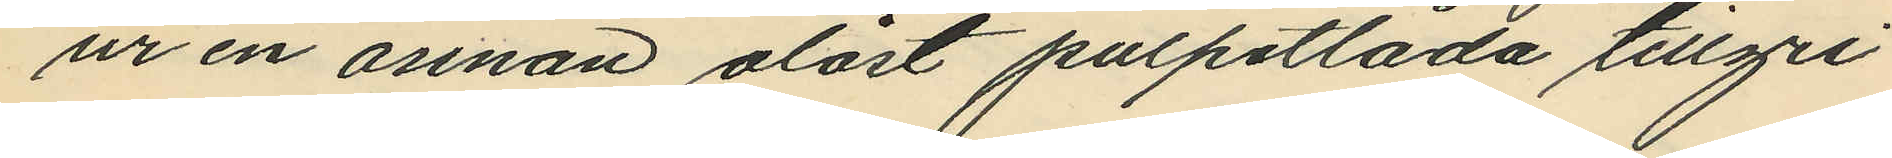ur en annan olåst pulpetlåda tillgri¬
